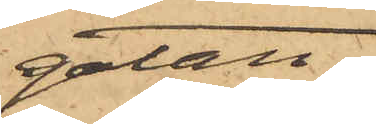gatan.
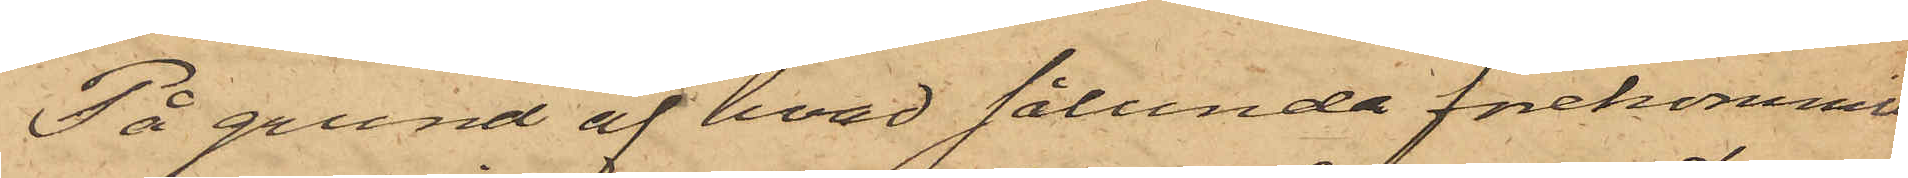På grund af hvad sålunda förekommit
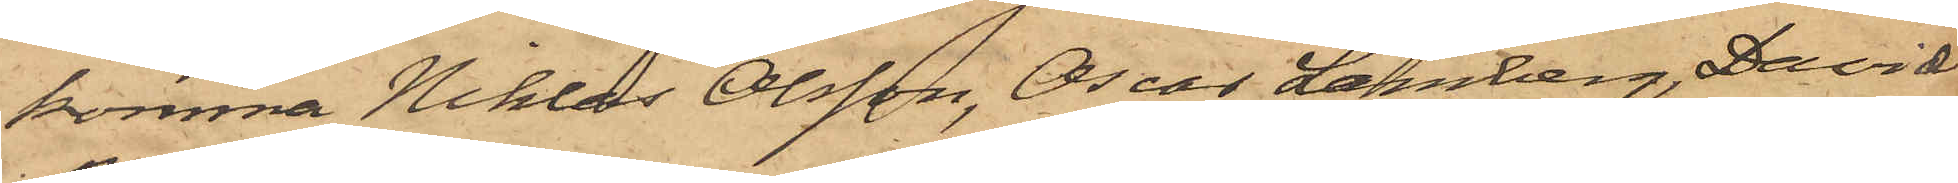komma Niklas Olsson, Oscar Lamberg, David
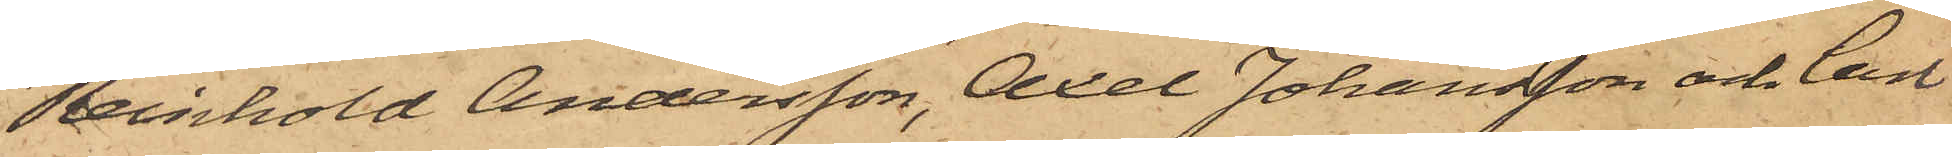Reinhold Andersson, Axel Johansson och Carl
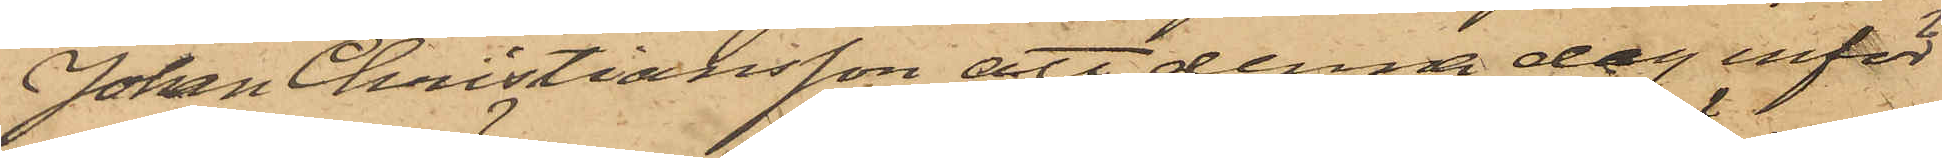Johan Christiansson att denna dag inför
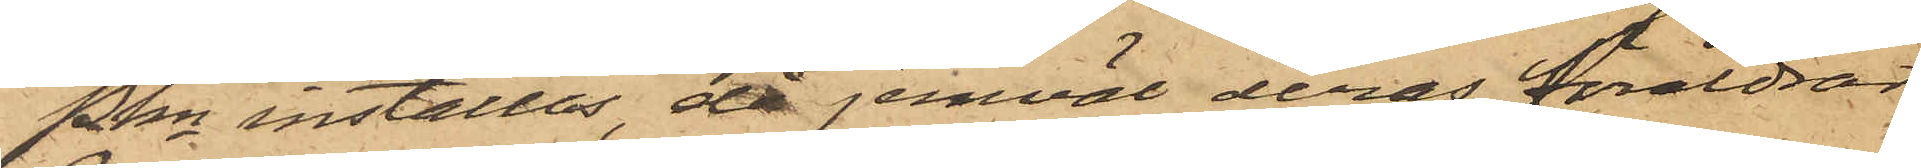Pkn inställas, då jemväl deras föräldrar
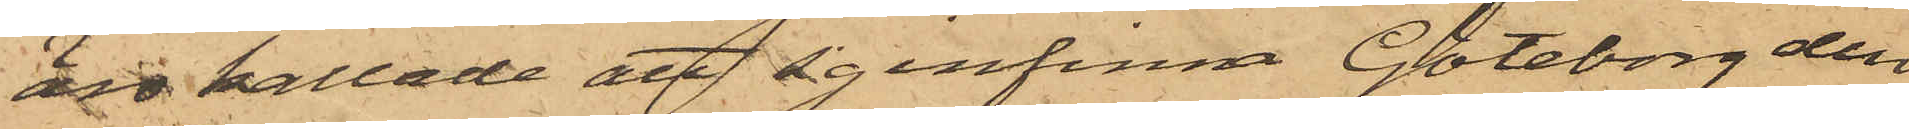äro kallade att infinna Göteborg den
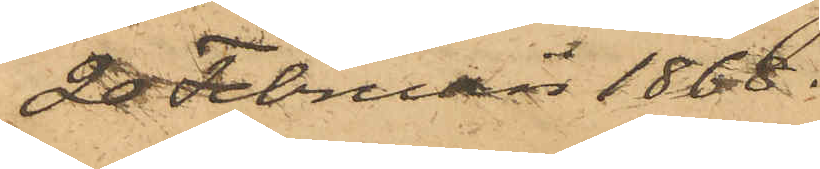20 Februari 1868.
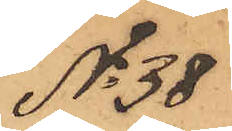No 38
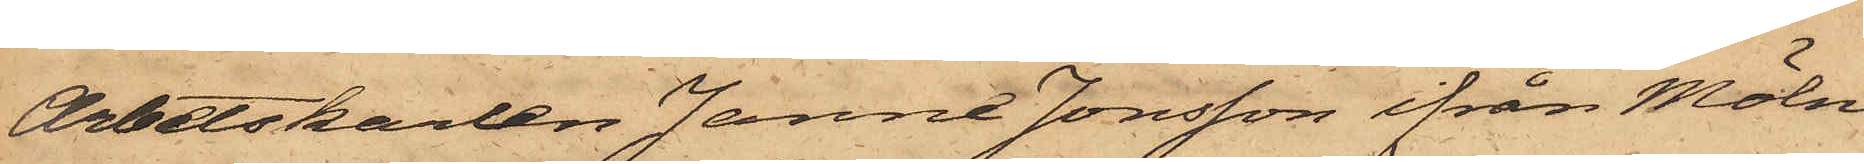Arbetskarlen Janne Jonsson ifrån Möln¬
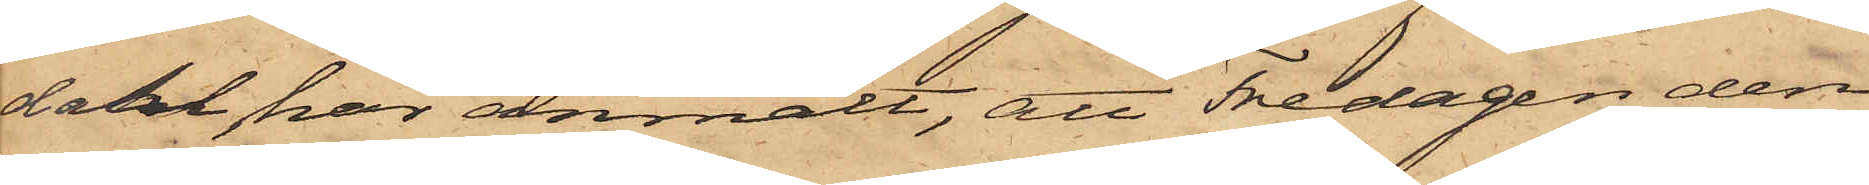dahl har anmält, att Fredagen den
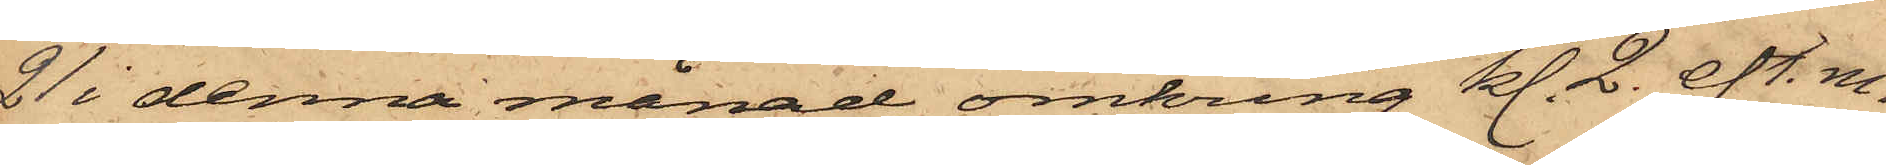21 i denna månad omkring kl. 2. eft. m.
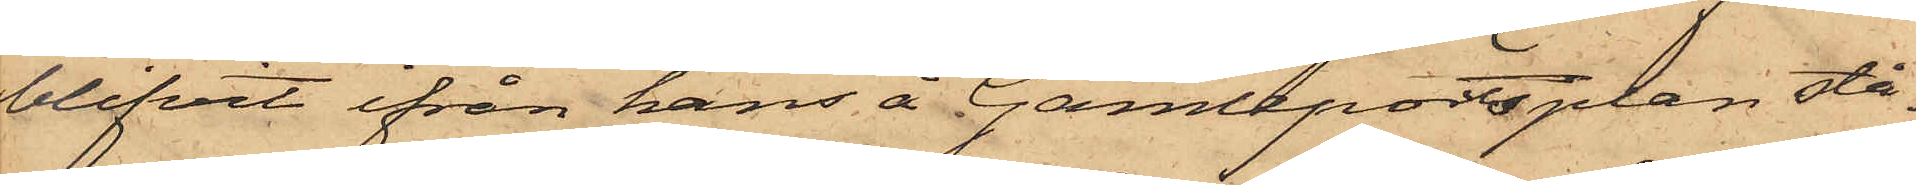blifvit ifrån hans å Gamleportsplan stå¬
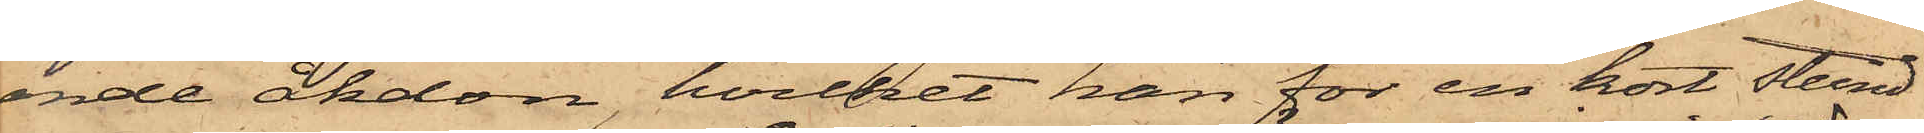ende åkdon, hvilket han för en kort stund
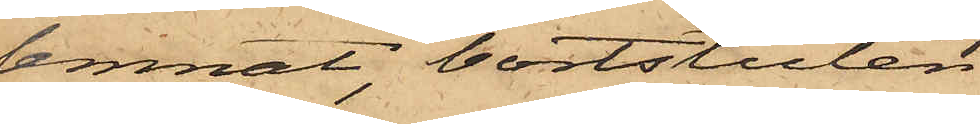lemnat, bortstulen
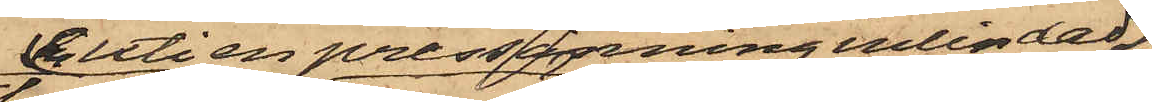en uti en pressenning inlindad
